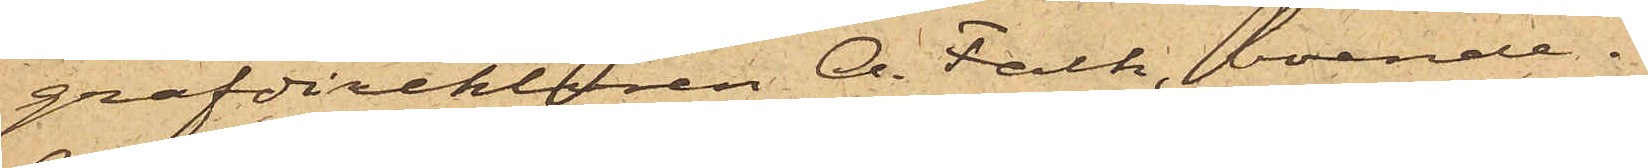grafdirektören A. Falk, boende i
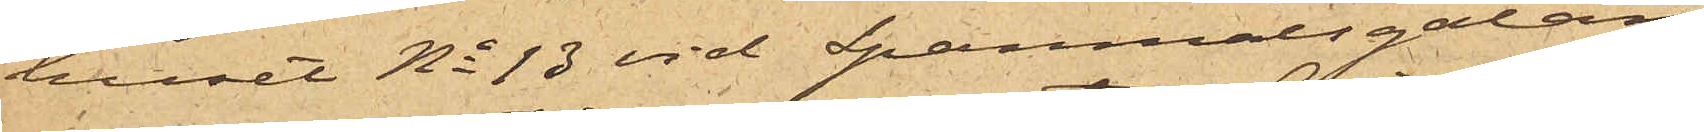huset No 13 vid Spanmålsgatan,
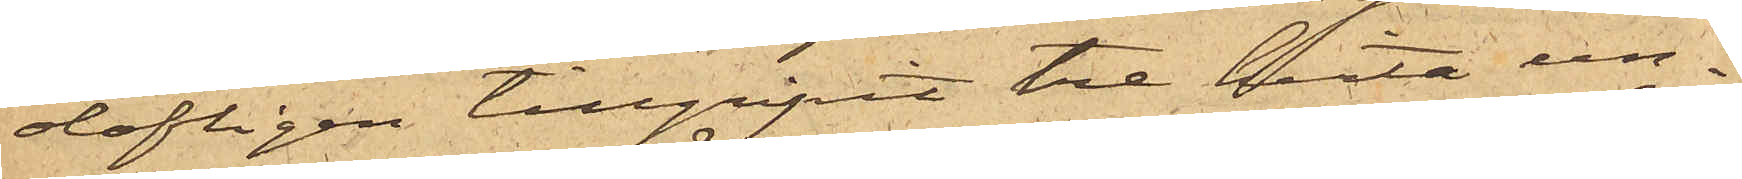olofligen tillgripit tre hvita un¬
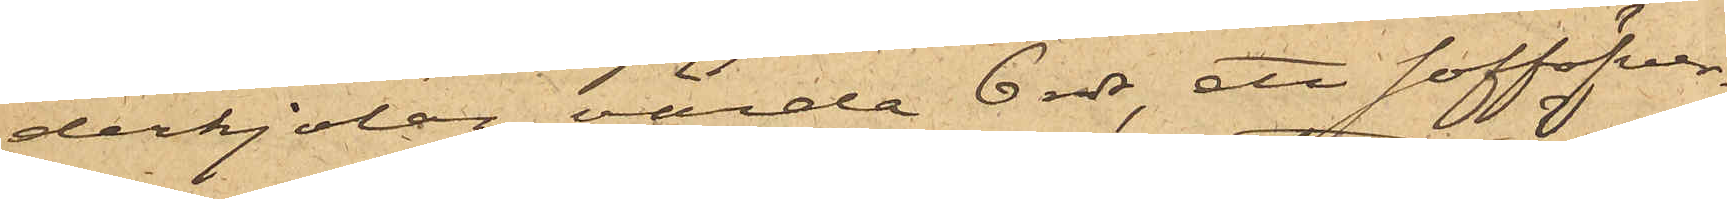derkjolar, värda 6 rdr, ett sofföfver¬
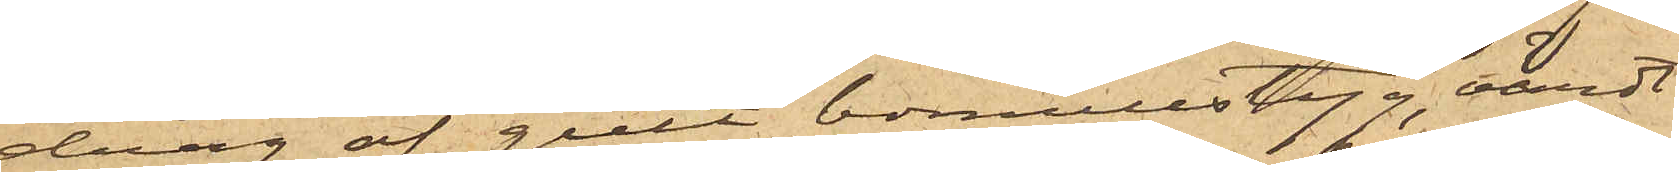drag af gult bomullstyg, värdt
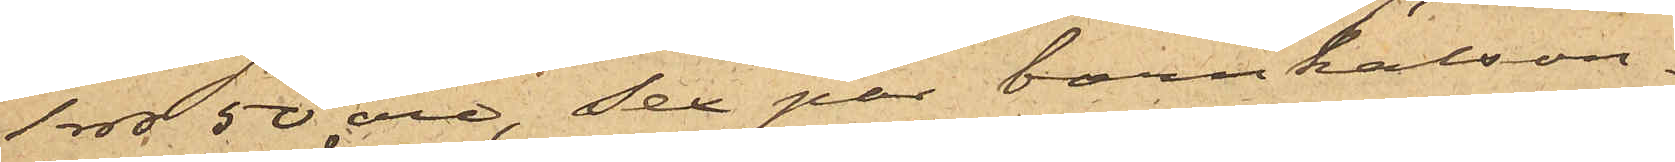1 rdr 50 öre, sex par barnkalson¬
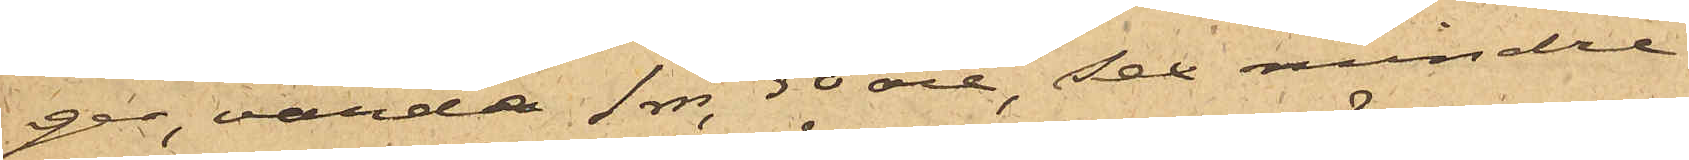ger, värda 1 rdr. 50 öre, sex mindre
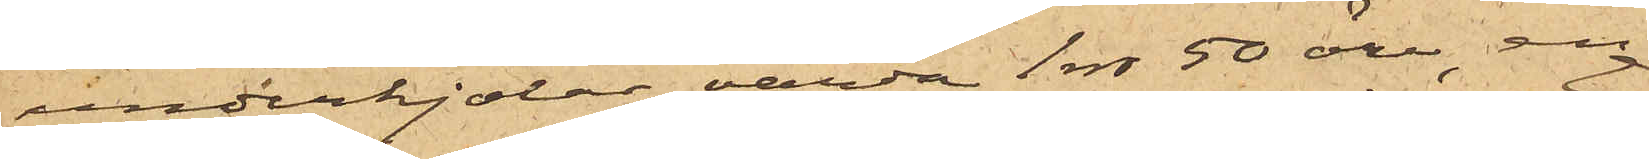underkjolar, värda 1 rdr 50 öre, en
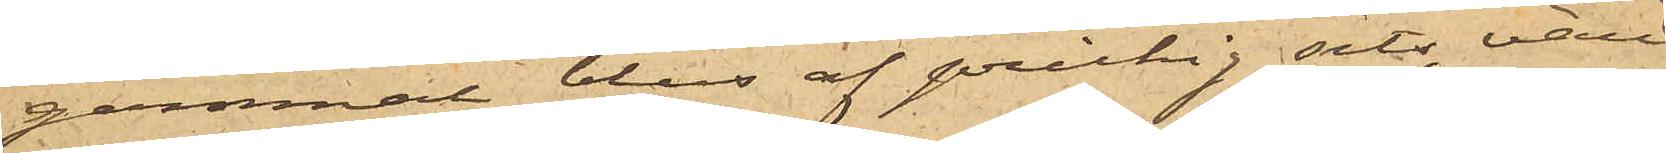gammal blus af prickig sits, värd
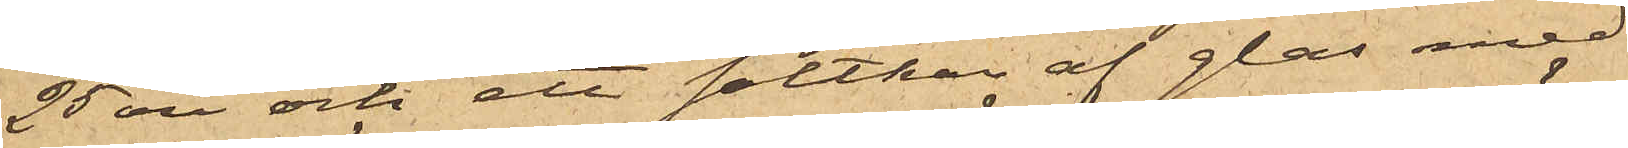25 öre och ett saltkar af glas med
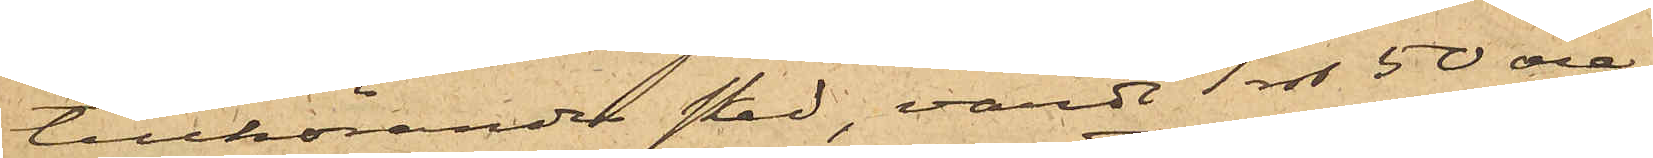tillhörande sked, värdt 1 rdr 50 öre,
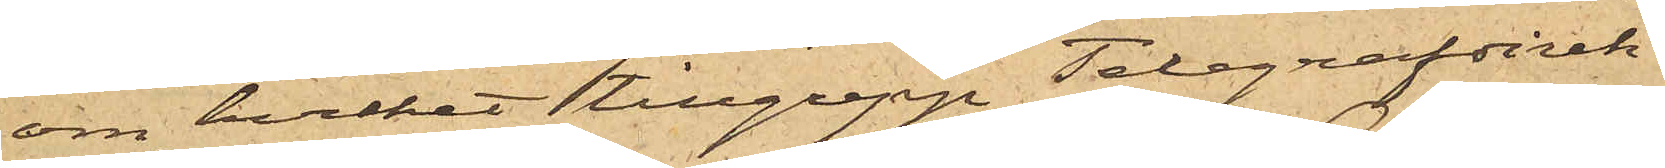om hvilket tillgrepp Telegrafdirek¬
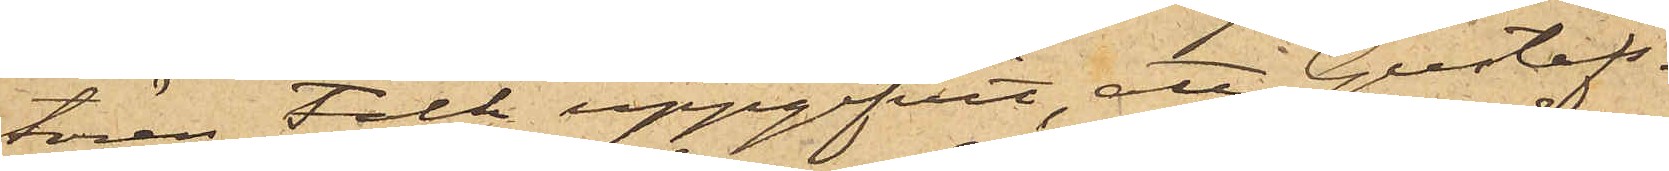tören Falk uppgifvit, att Gustafs¬
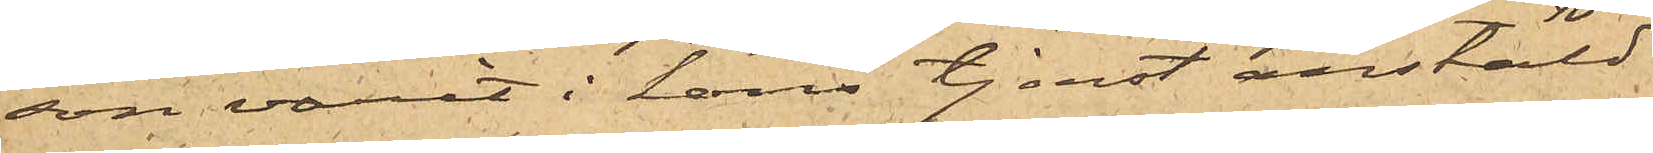son varit i hans tjenst anstäld
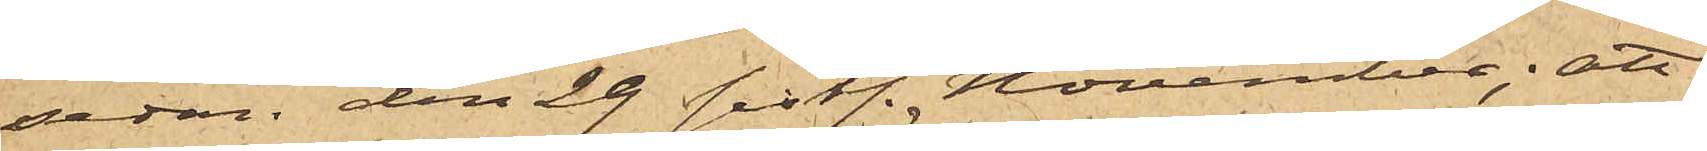sedan den 29 sistl. November; att
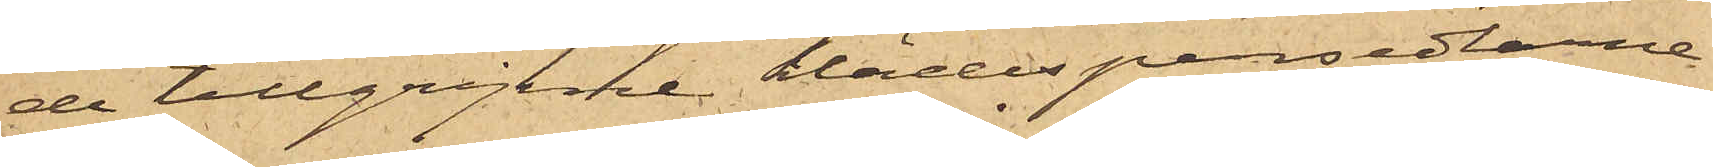de tillgripne klädespersedlarne
